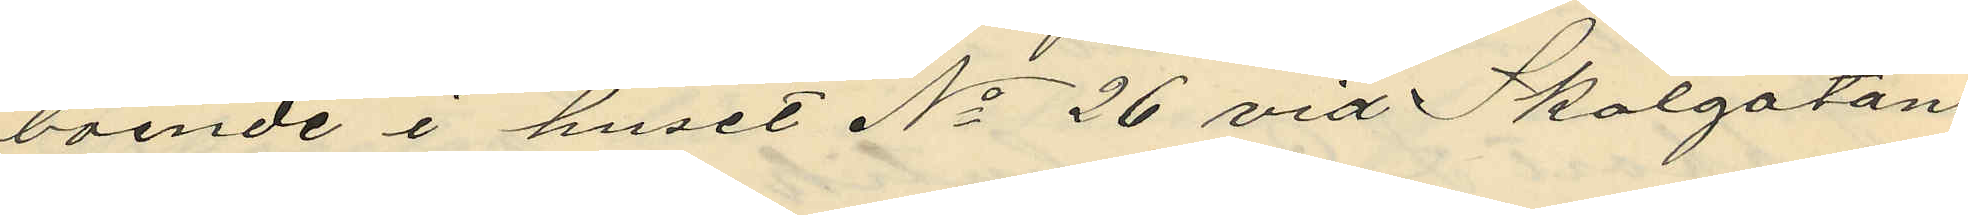boende i huset No 26 vid Skolgatan
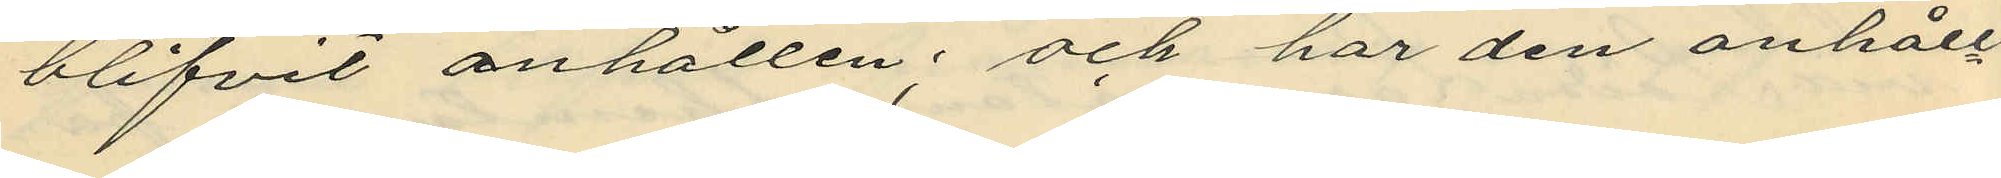blifvit anhållen; och har den anhåll¬
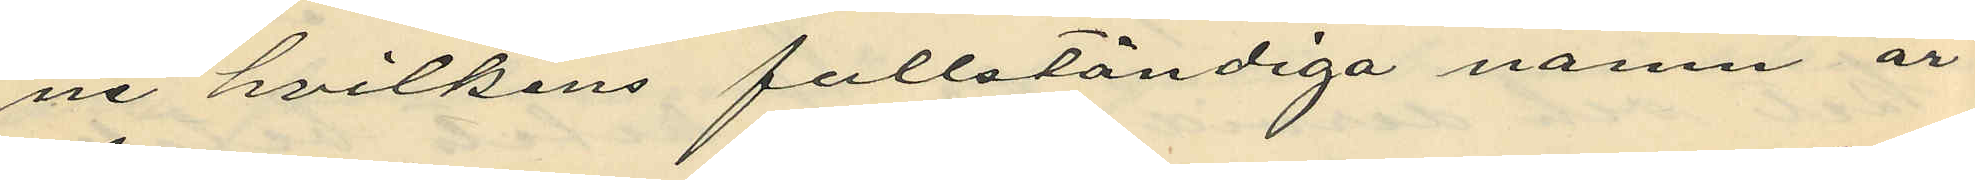ne hvilkens fullständiga namn är
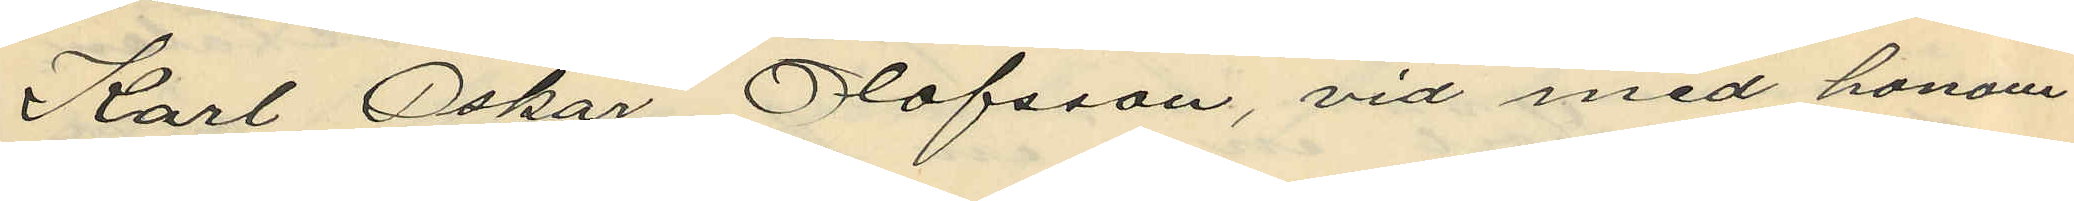Karl Oskar Olofsson, vid med honom
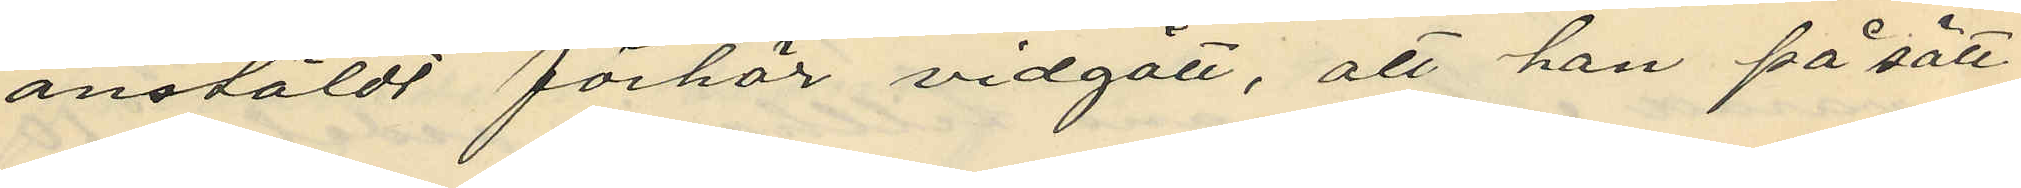anstäldt förhör vidgått, att han på sätt
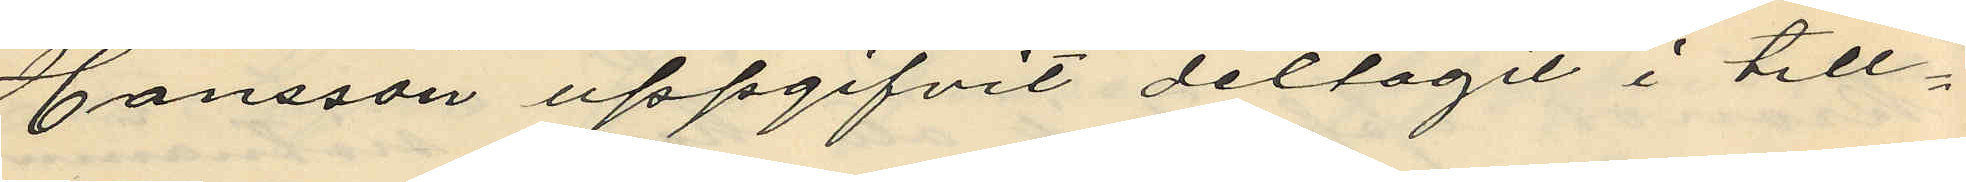Hansson uppgifvit deltagit i till¬
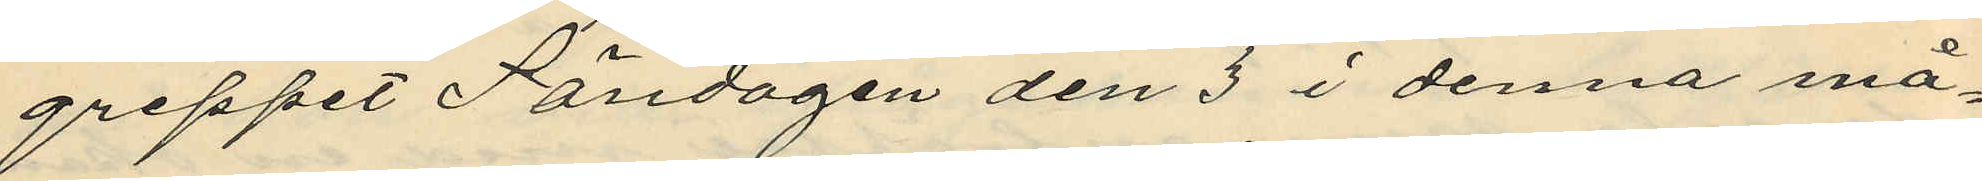greppet Söndagen den 3 i denna må¬
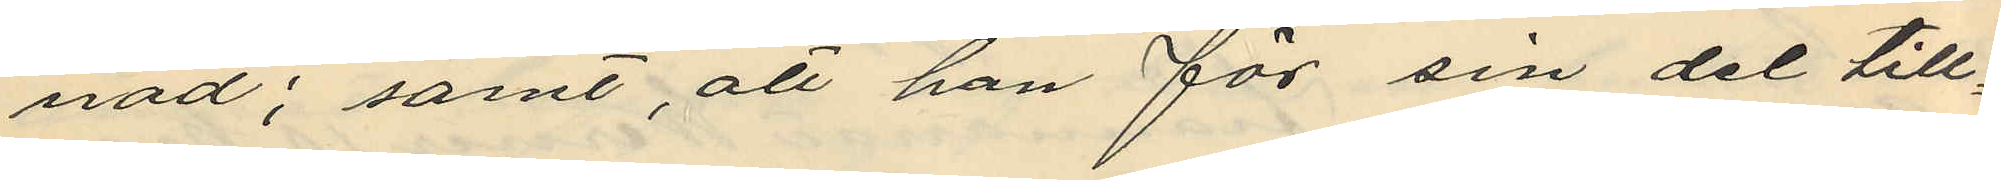nad; samt att han för sin del till¬
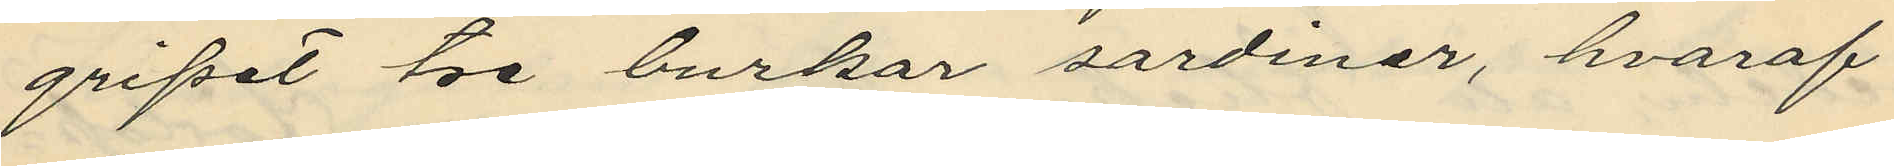gripet tre burkar sardiner, hvaraf
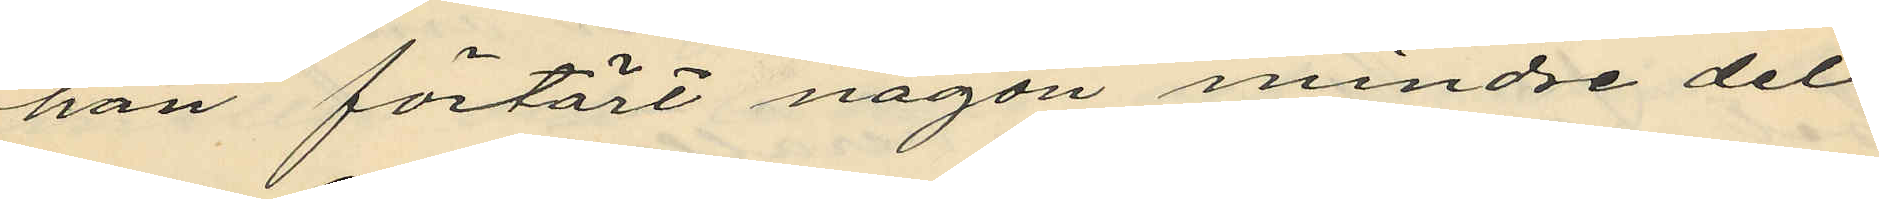han förtärt någon mindre del
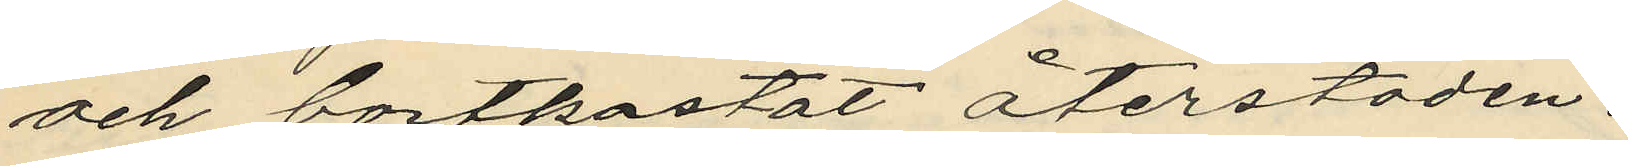och bortkastat återstoden.
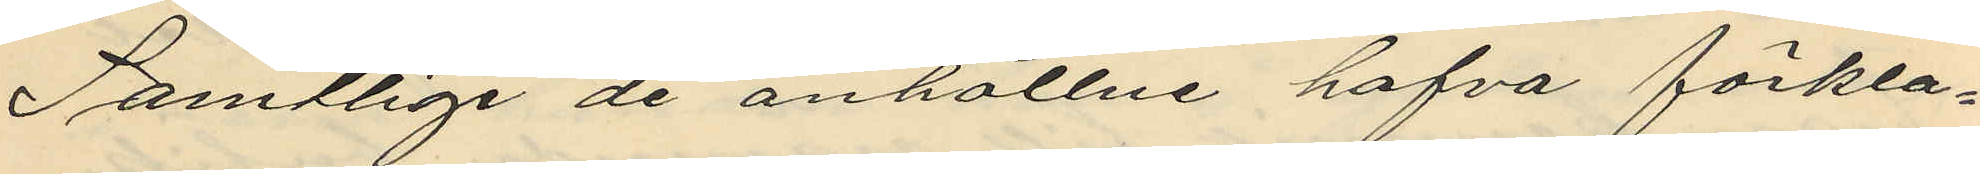Samtlige de anhållne hafva förkla¬
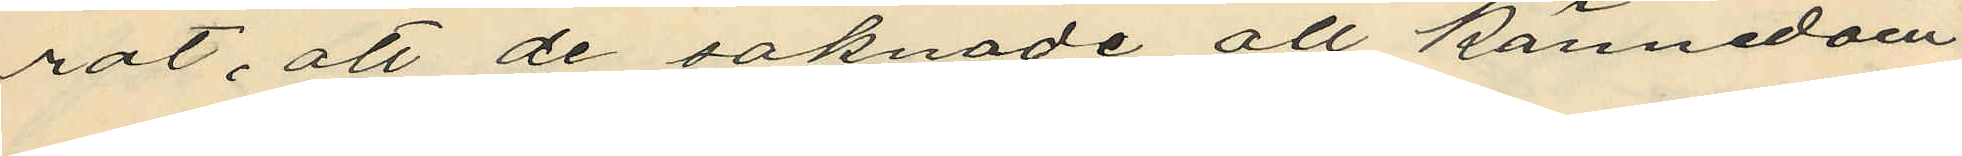rat, att de saknade all kännedom
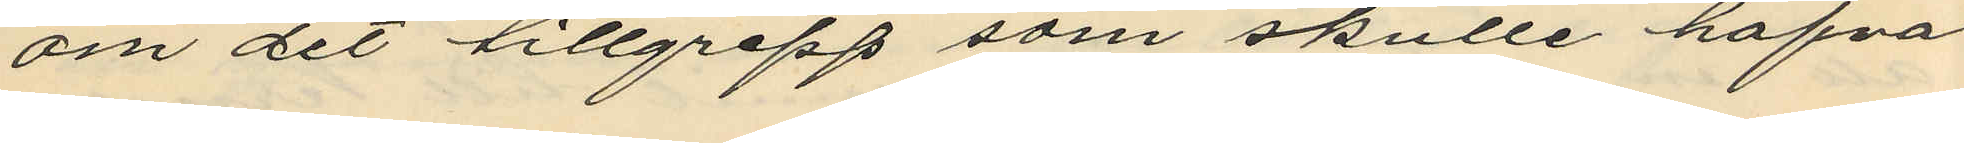om det tillgrepp som skulle hafva
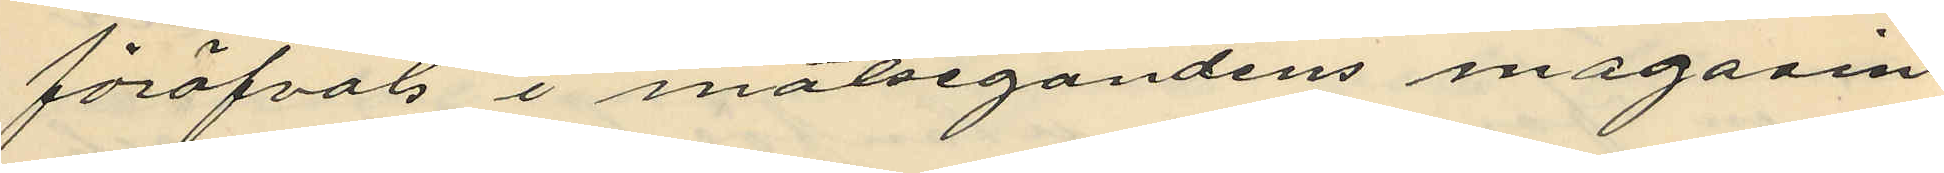föröfvats i målsegandens magasin
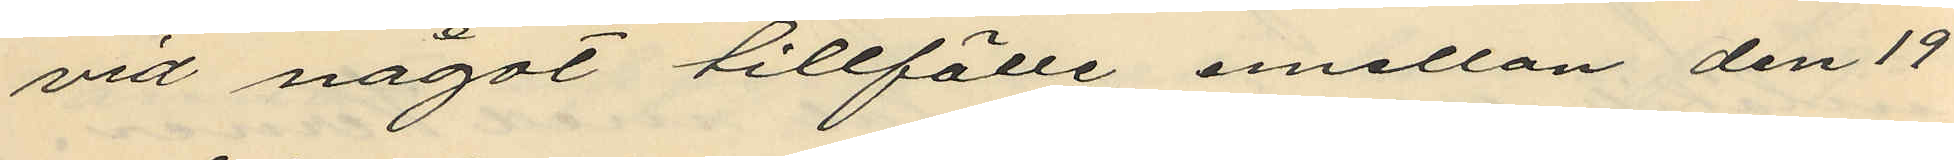vid något tillfälle emellan den 19
